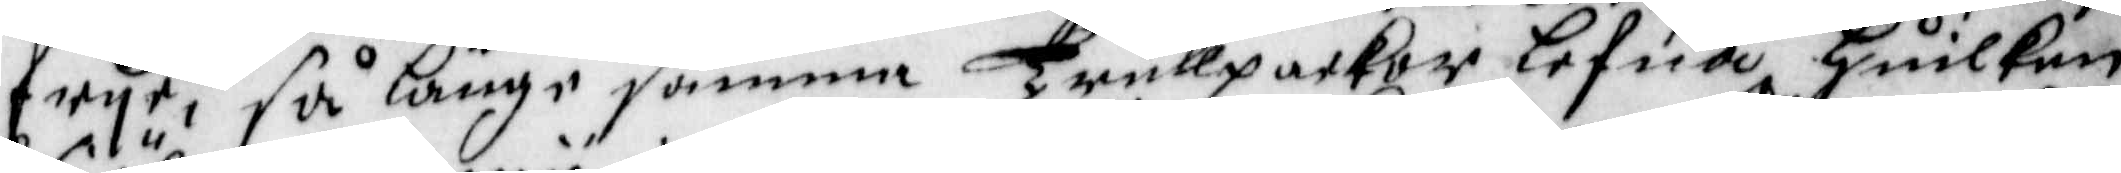frije, så länge samma Trullpackor lefua, Huilken
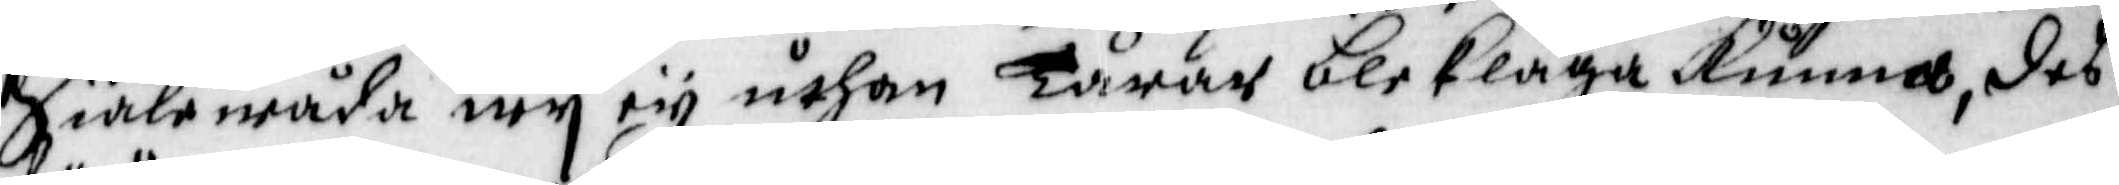Siälewåda wij ey uthan Tårar bleklaga Kunna, des
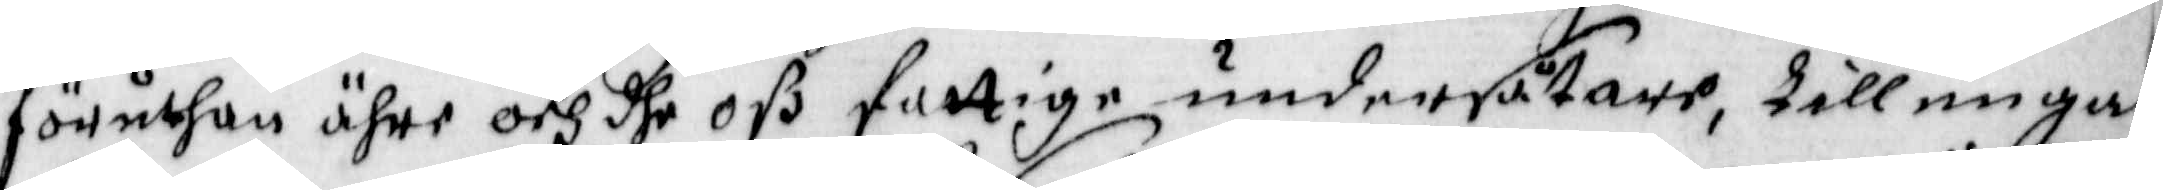föruthan ähre och dhe oß fattige undersåtare, till en gan¬
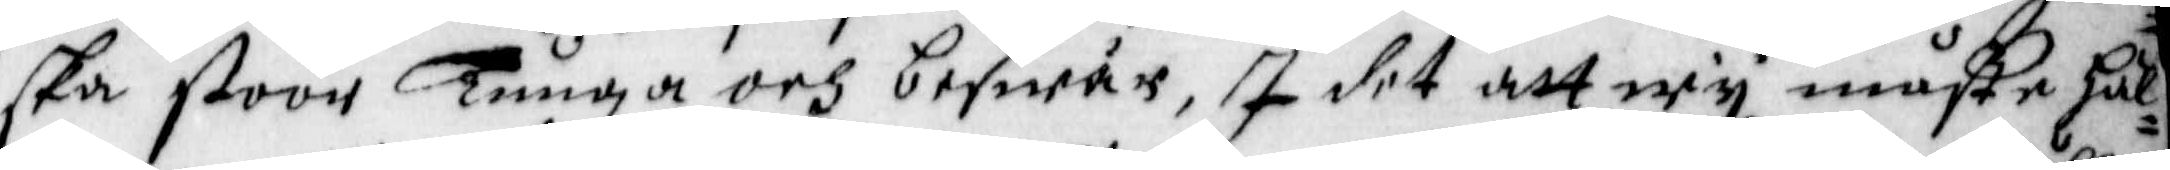ska stoor Tunga och beswär, I det att wij måste hål¬
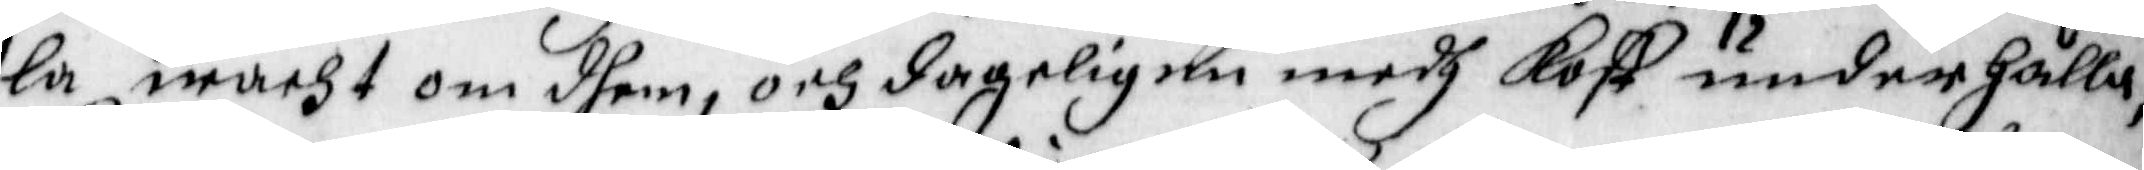la macht om dhem, och dageligen medh Kost underhålla,
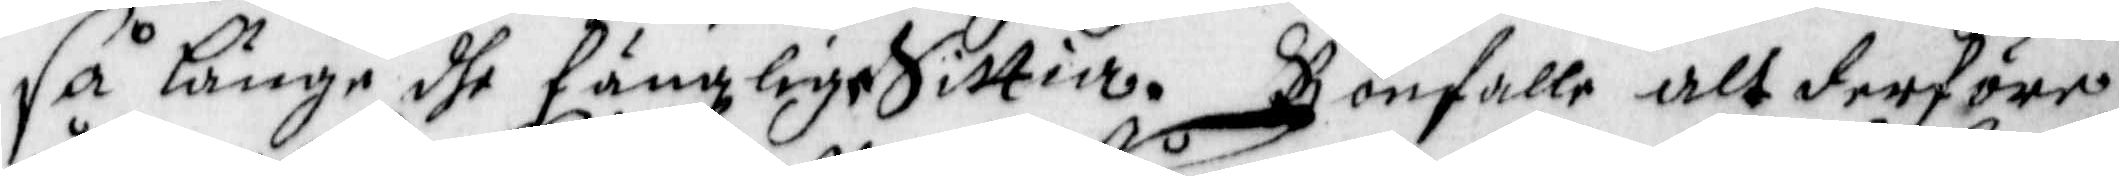så Länge dhe fängzlige Sittia. Bönfalle alt derföre
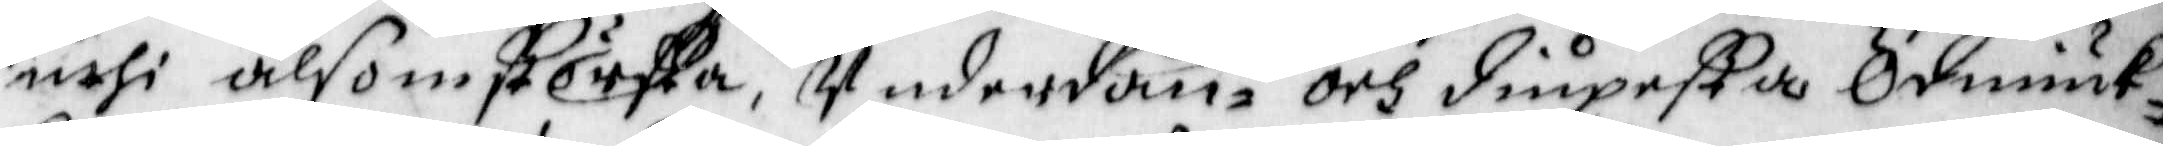uthi alsom största, Underdån¬ och diupesta Ödmiuk¬
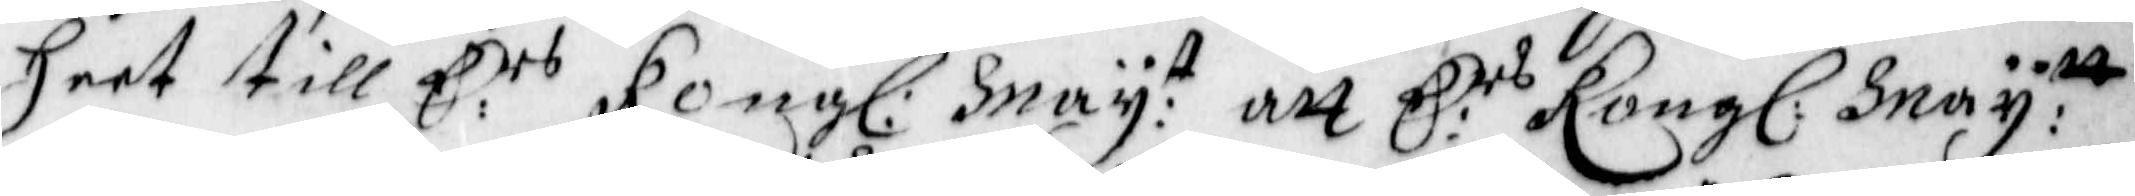heet till E:rs Kong: May:t att E:rs Kong: May:tt
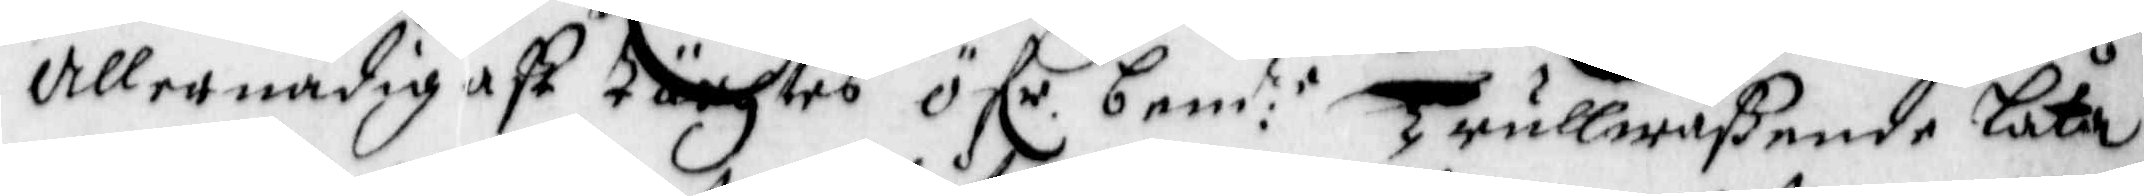Allernådigast tächtes öf.r bem:te Trullwäßende Låta
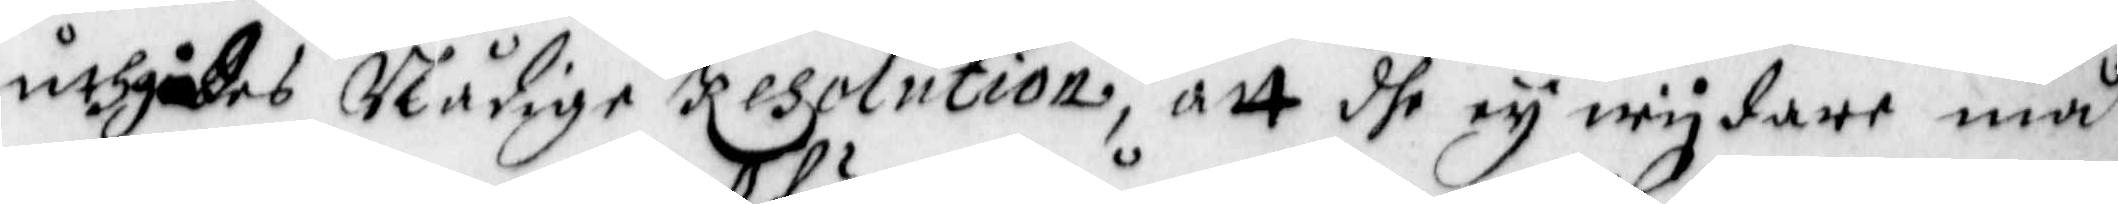uthgå des Nådige Resolution, att dhe ey wijdare må
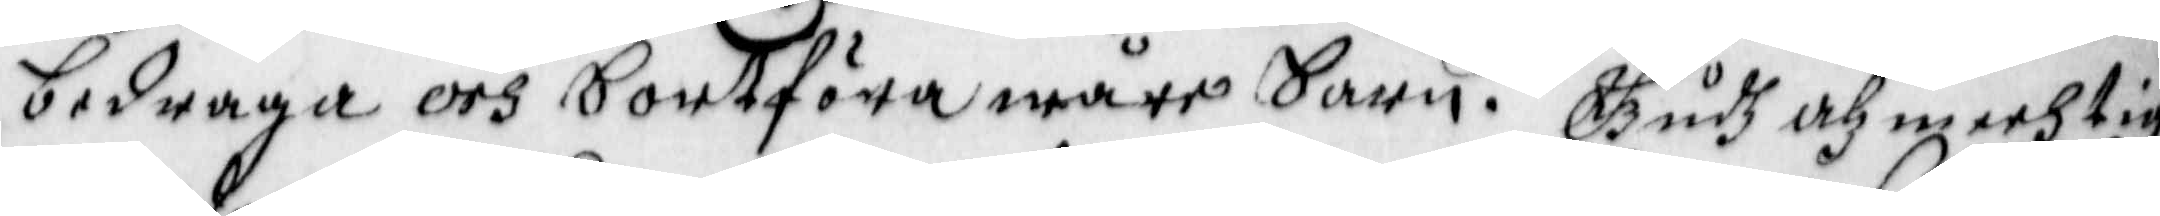bedraga och bortföra wåre barn. Gudh Alzmechtig
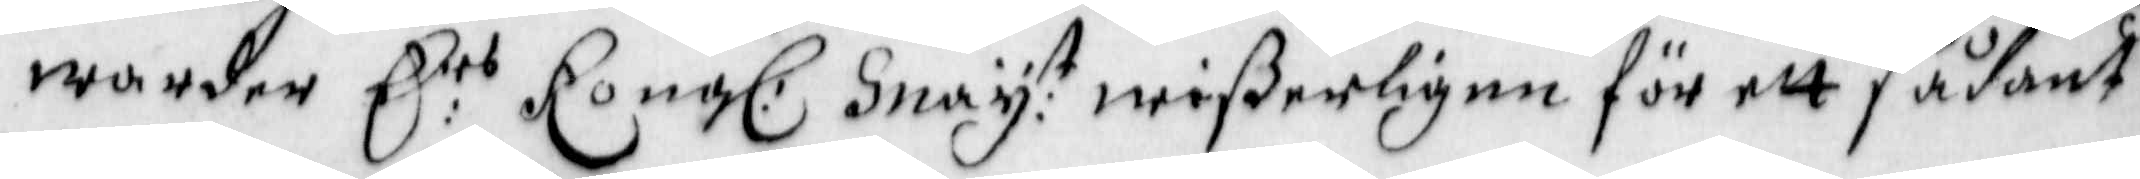warder E:rs Kong: May:t wißerligen för ett sådant
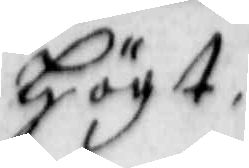Högt
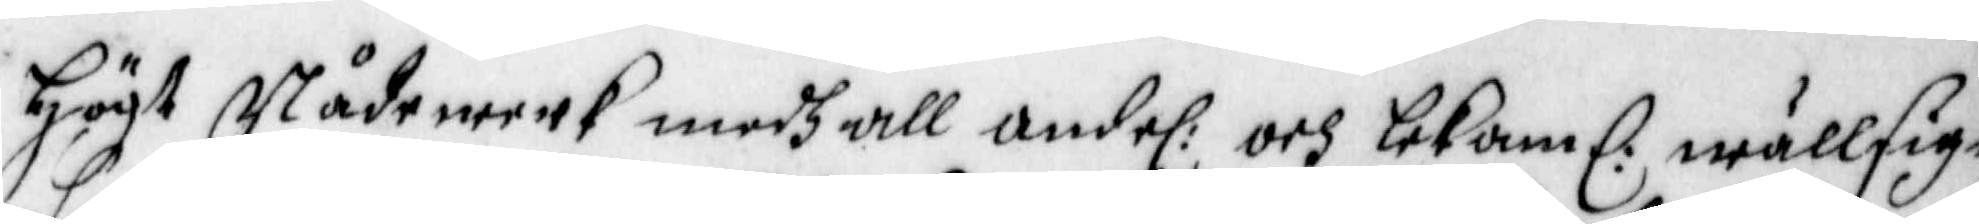Högt Nådewerk medh all andel: och lekaml: wällsign¬
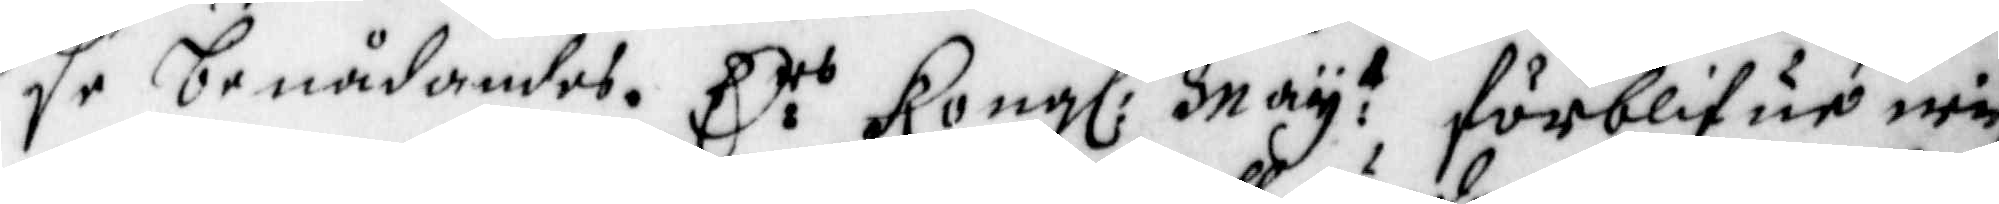se benådandes. E:rs Kongl: Maij:t förblifue wi
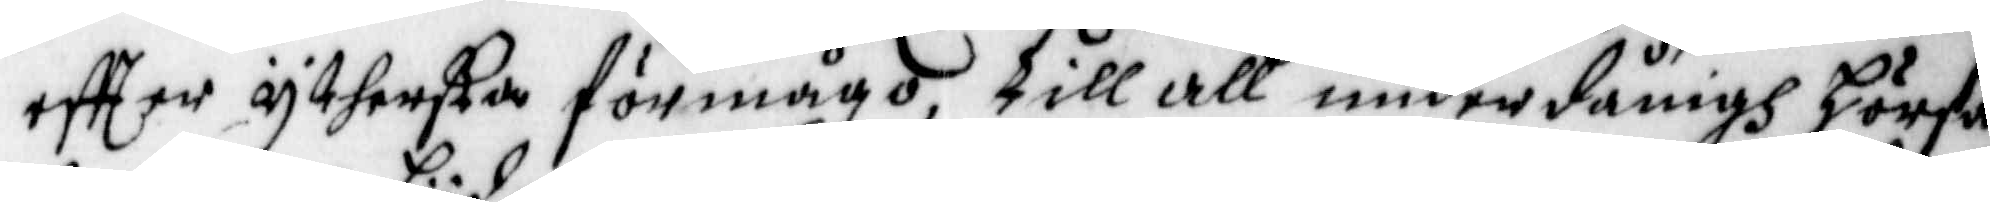effter ythersta förmågo, till all underdånigh hörsa¬
